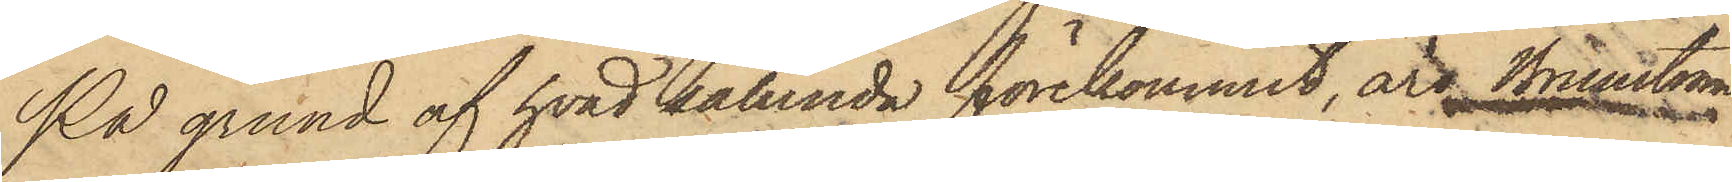På grund af hvad sålunda förekommit, äro Brunström
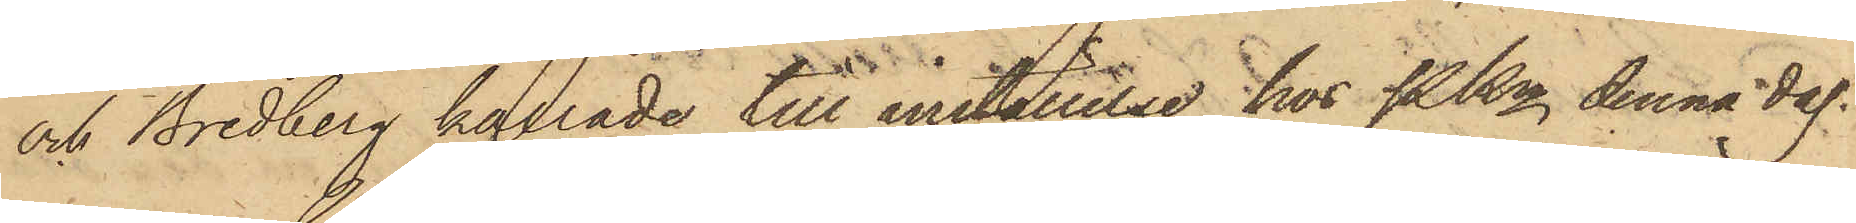och Bredberg kallade till inställelse hos PKn denna dag.
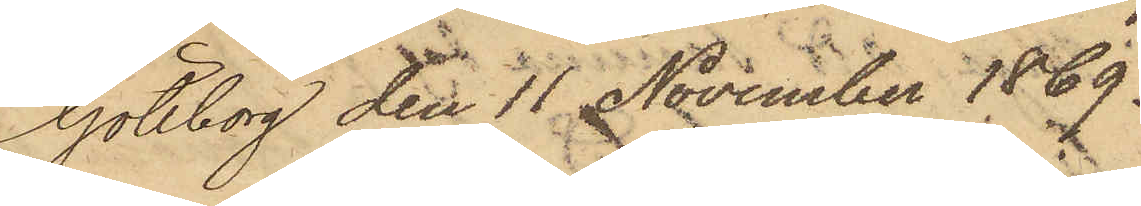Göteborg den 11 November 1869.
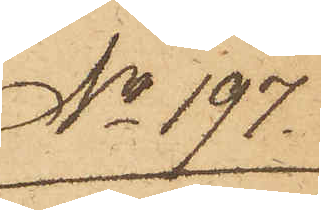No 197.
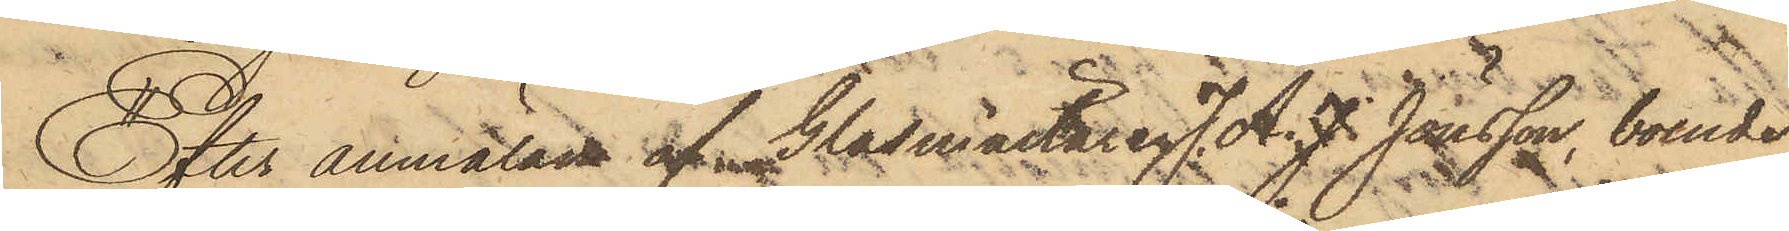Efter anmälan af Glasmästaren. J. A. J. Jönsson, boende
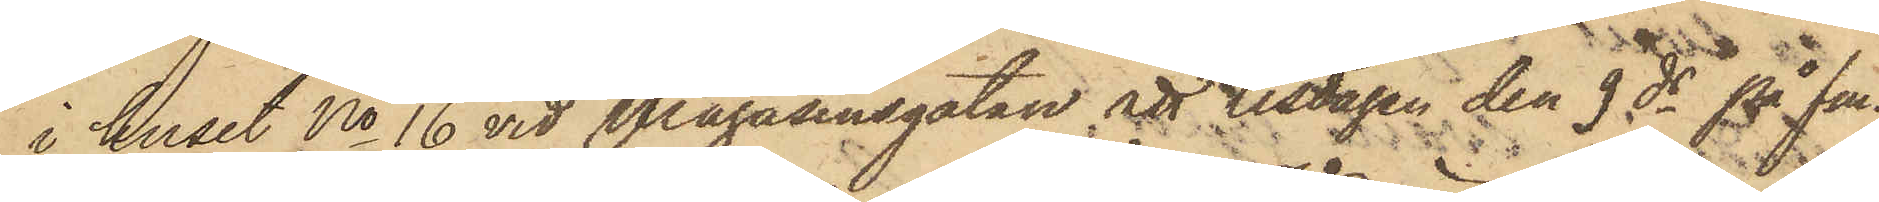i huset No 16 vid Magasinsgatan, att tisdagen den 9 ds på fm.
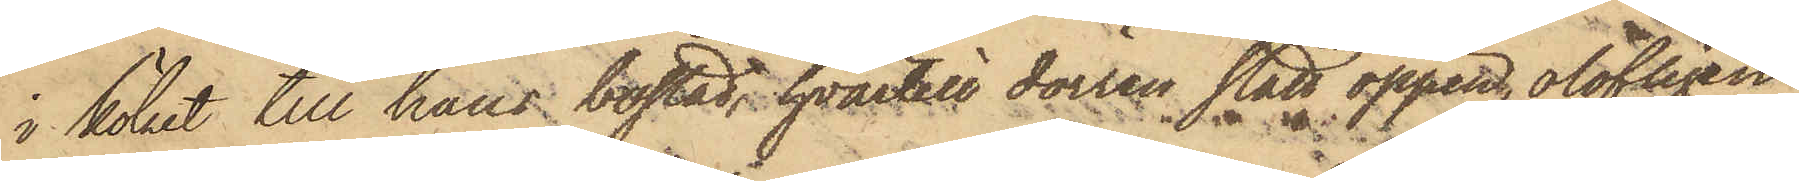i köket till hans bostad, hvartill dörren stått öppen, olofligen
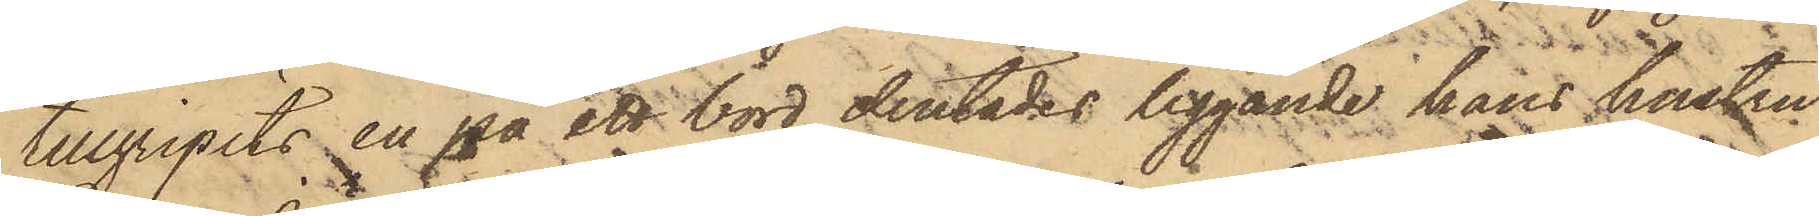tillgripits en på ett bord derstädes liggande hans hustru
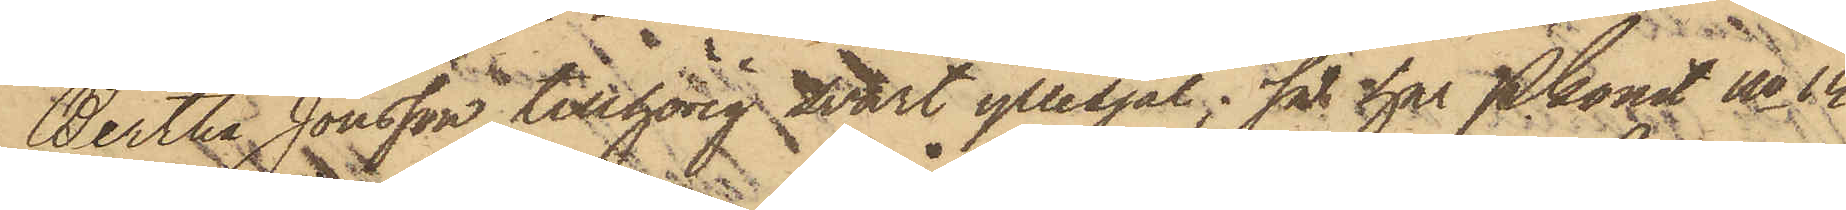Bertha Jönsson tillhörig svart yllesjal; så har Pkonst No 14
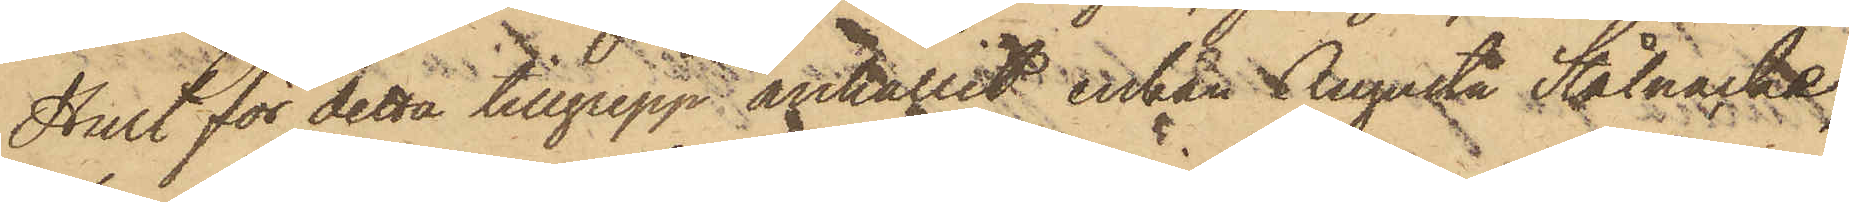Hult för detta tillgrepp anhållit enkan Augusta Stålnacke,
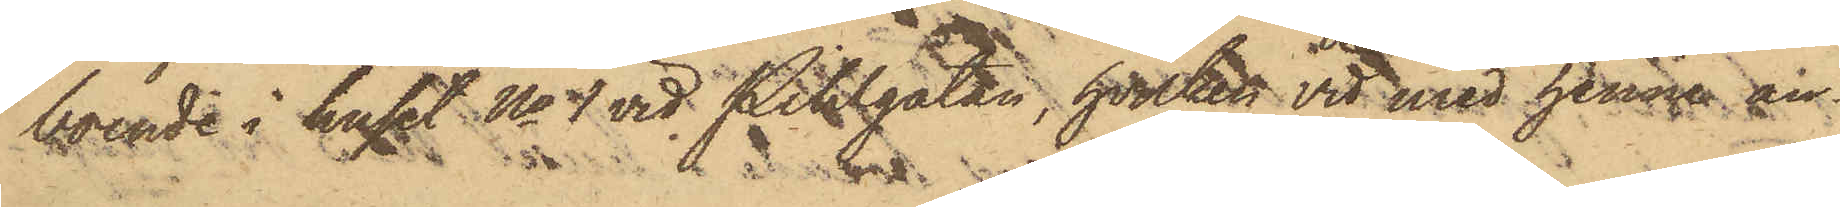boende i huset No 4 vid Pihlgatan, hvilken vid med henne an¬
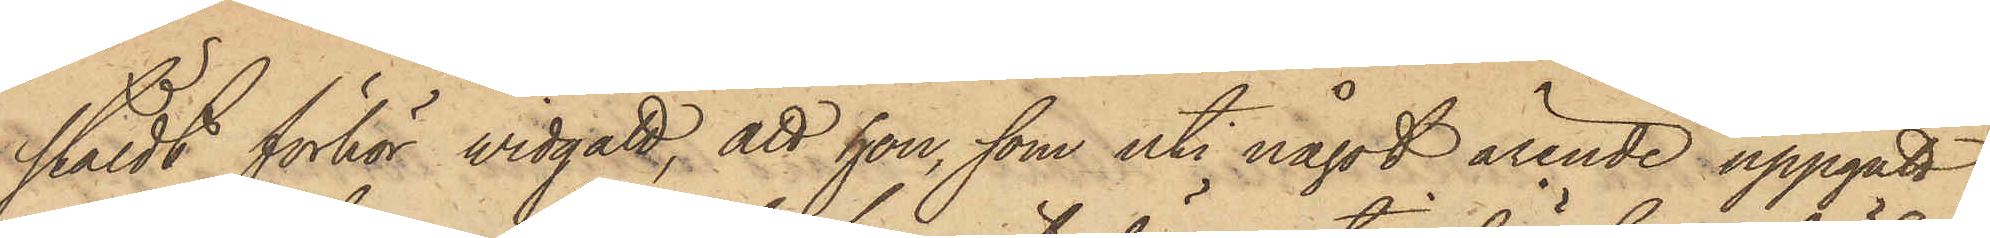stäldt förhör widgått, att hon, som uti något ärende uppgått
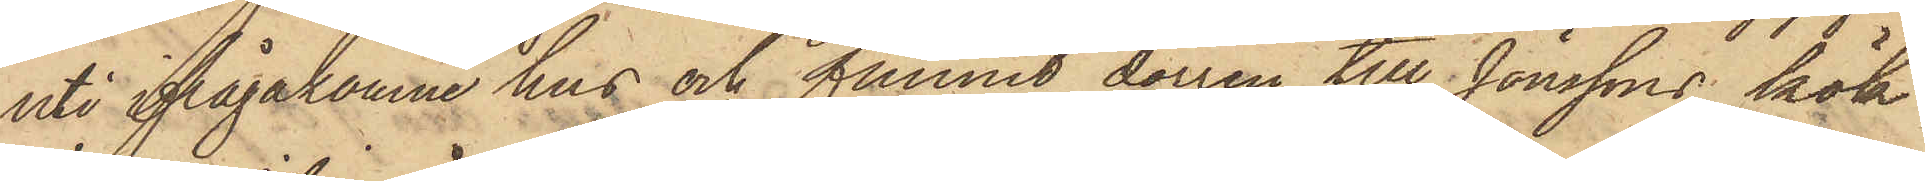uti ifrågakomne hus och funnit dörren till Jönssons kök
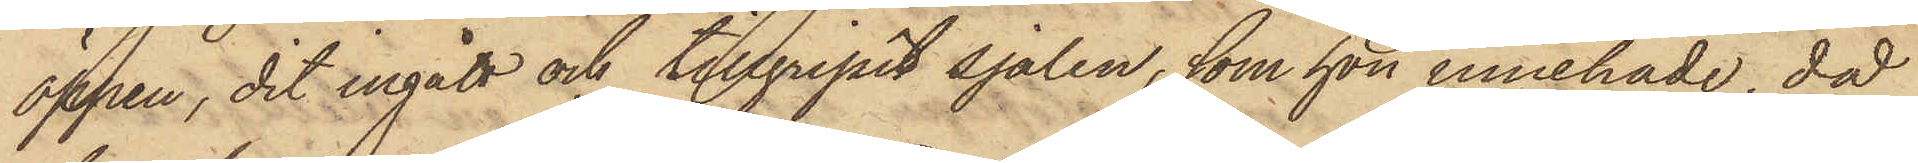öppen, dit ingått och tillgripit sjalen, som hon innehade, då
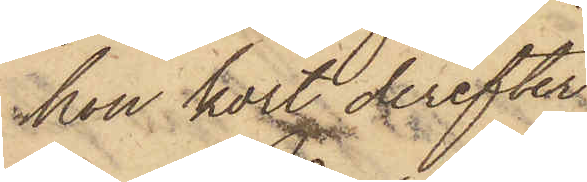hon kort derefter
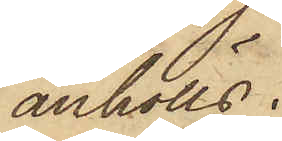anhölls.
